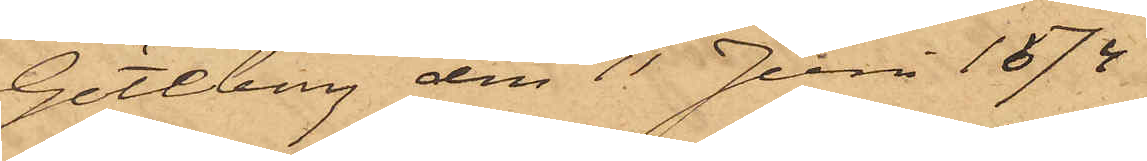Göteborg den 11 Juni 1874
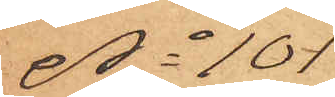No 101
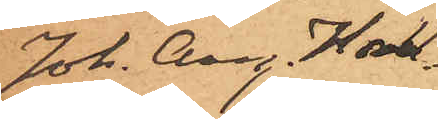Joh. Aug Hall¬
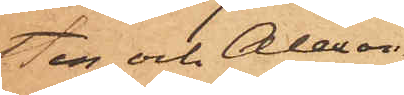sten och Alexan¬
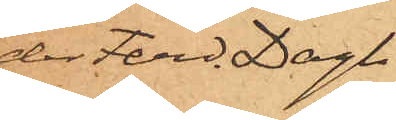der Ferd. Dagh.
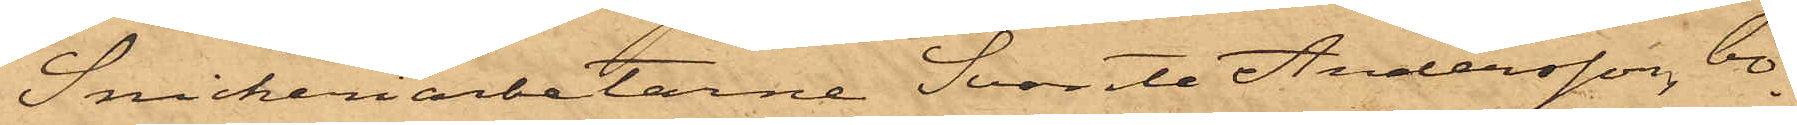Snickeriarbetarne Svante Andersson, bo¬
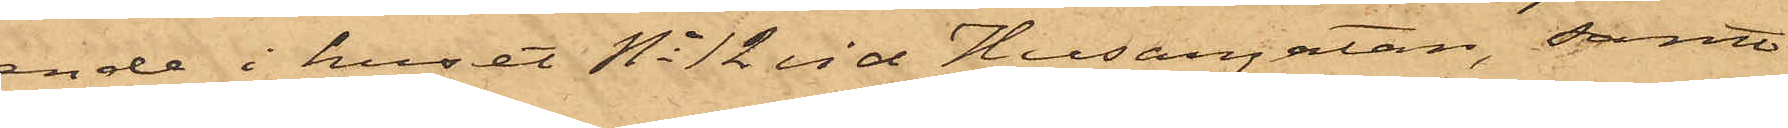ende i huset No 12 vid Husargatan, samt
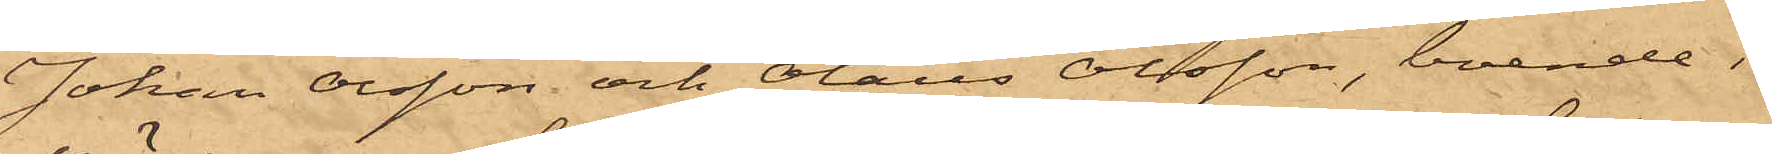Johan Olsson och Olaus Olsson, boende i
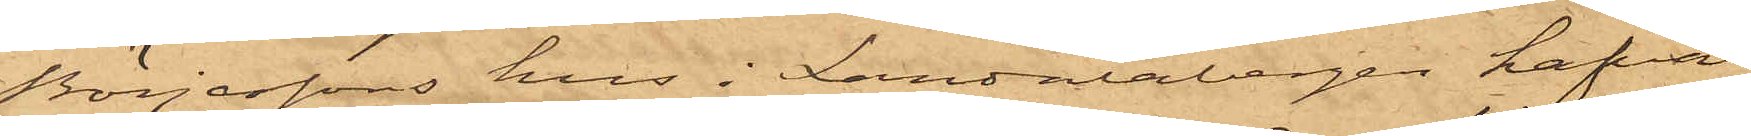Börjessons hus i Landalabergen hafva
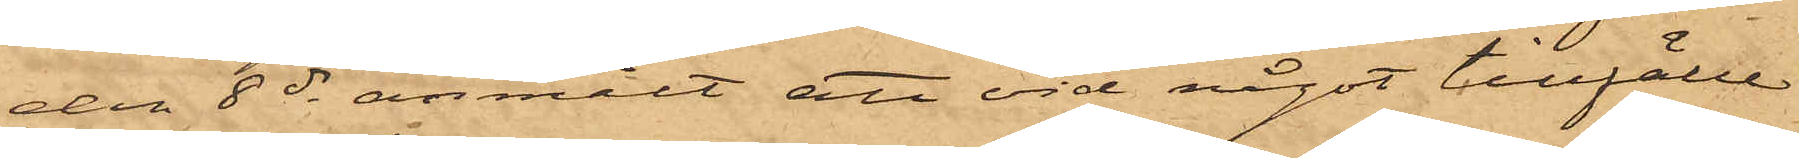den 8 ds anmält att vid något tillfälle
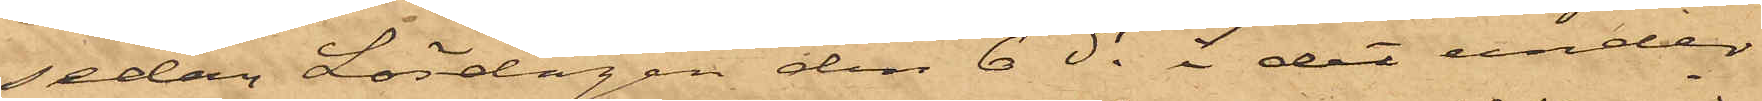sedan Lördagen den 6 ds i det under
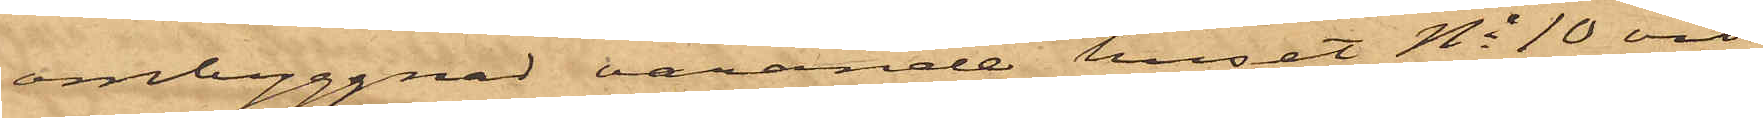ombyggnad varande huset No 10 vid
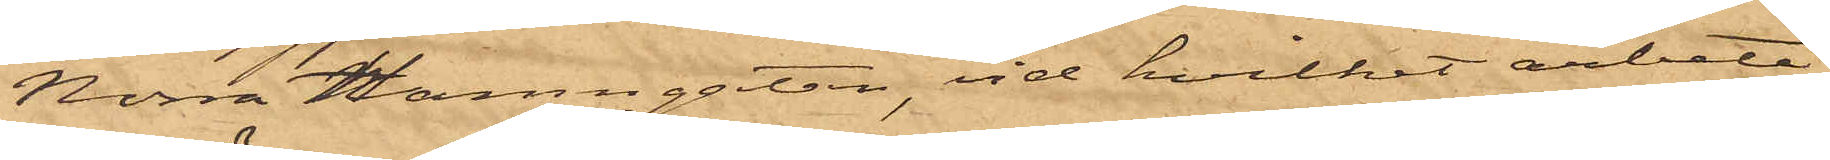Norra Hamngatan, vid hvilket arbete
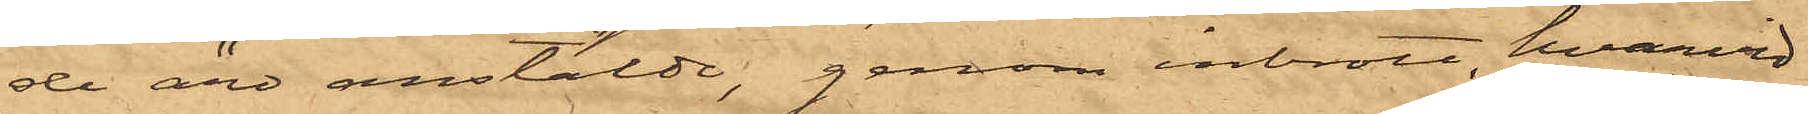de äro anstälde, genom inbrott, hvarvid
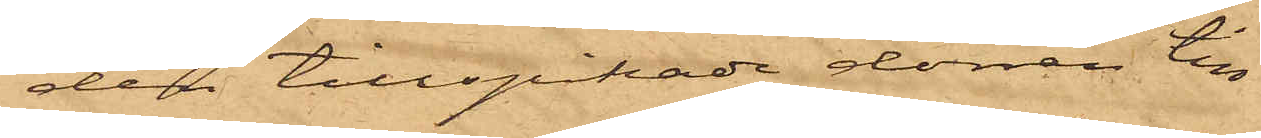den tillspikade dörren till
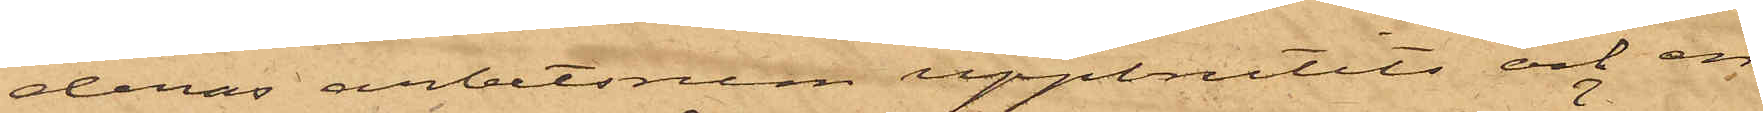deras arbetsrum uppbrutits och en
